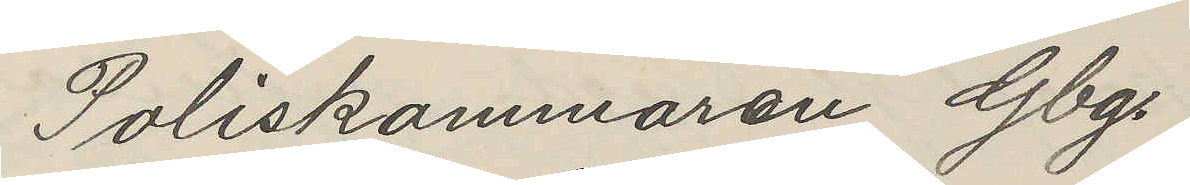Poliskammaren Gbg.
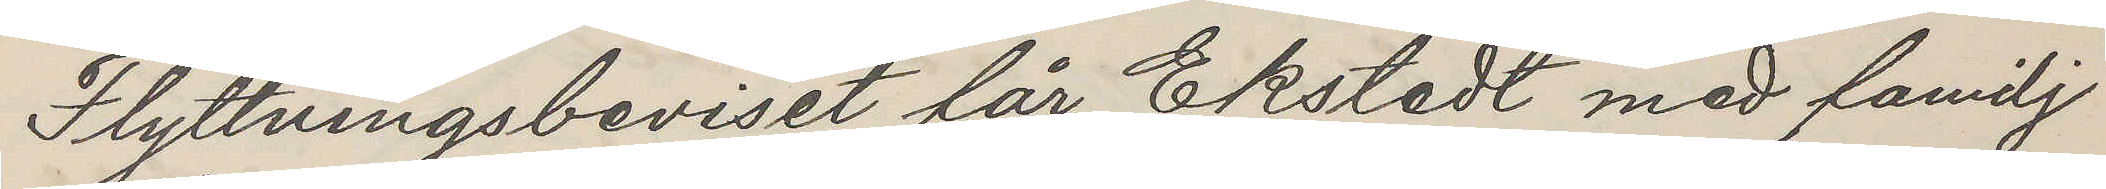Flyttningsbeviset för Ekstedt med familj
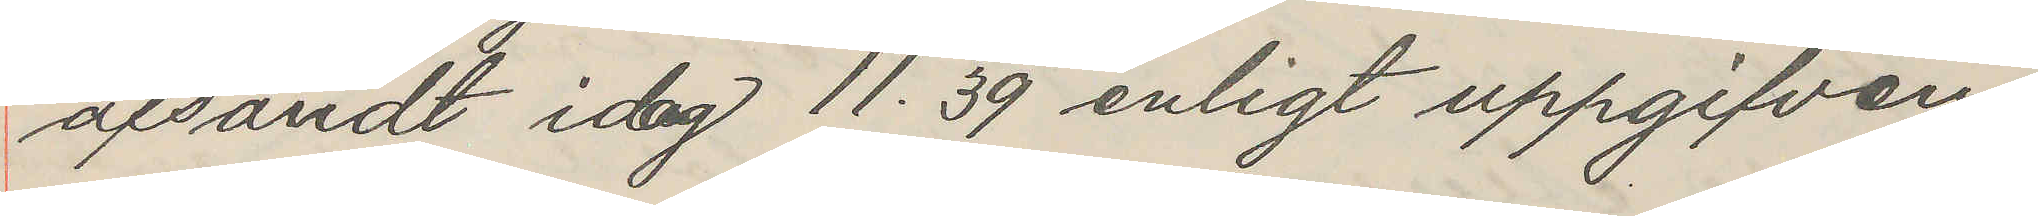afsändt idag 11.39 enligt uppgifven
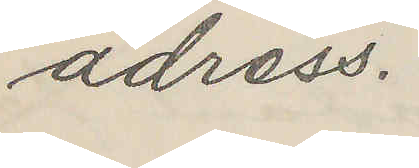adress.
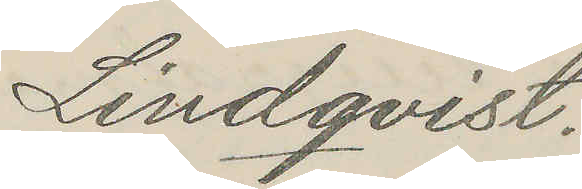Lindqvist.
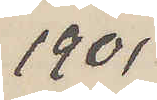1901
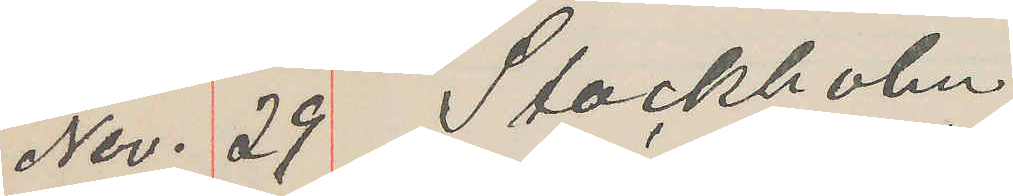Nov. 29. Stockholm
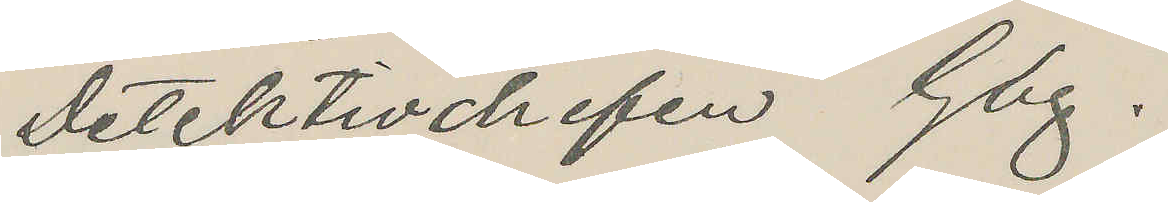Detektivchefen Gbg.
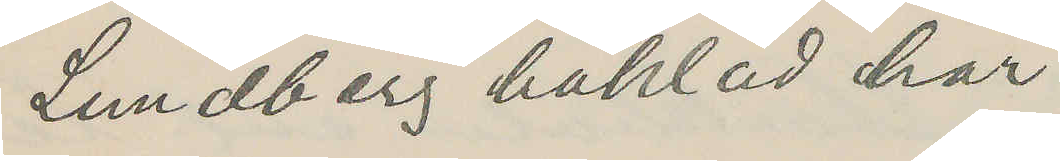Lundberg häktad här.
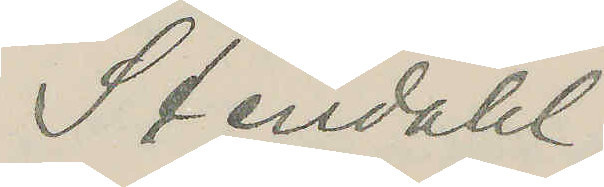Stendahl
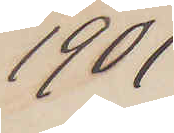1901
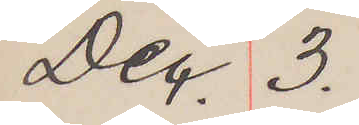Dec. 3.
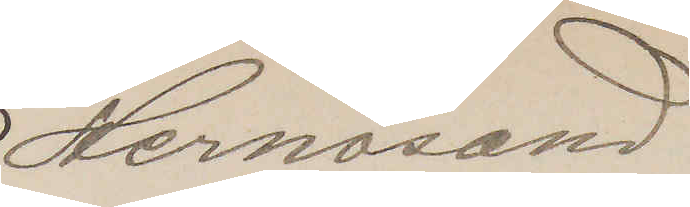Hernösand
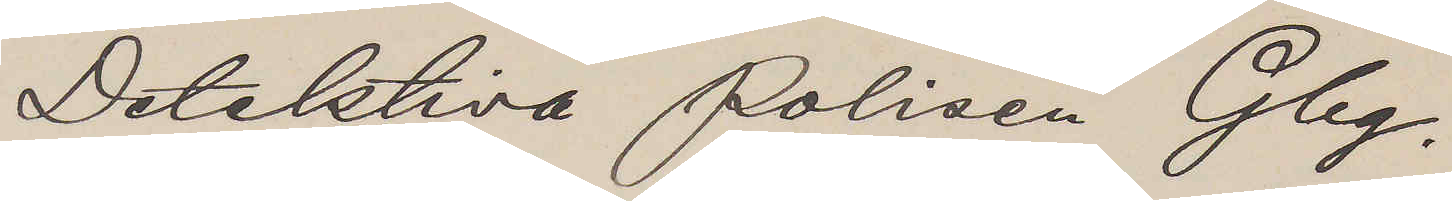Detektiva Polisen Gbg.
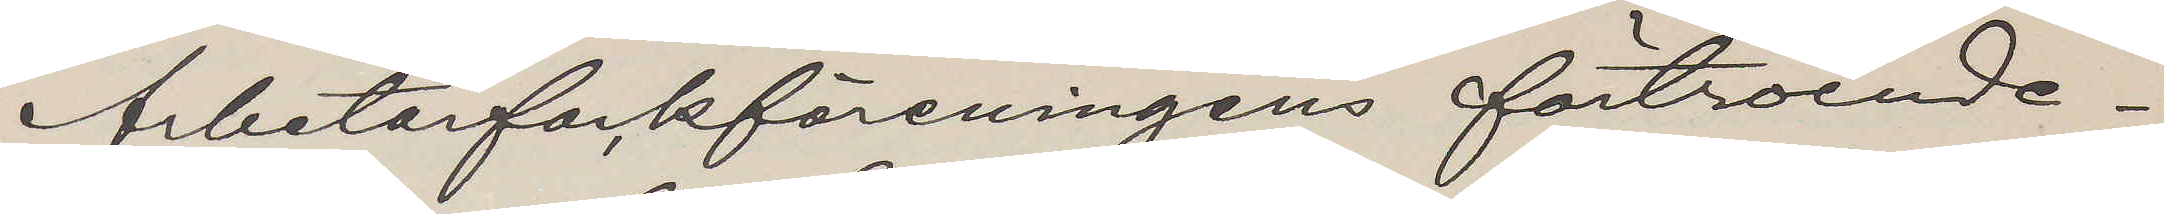Arbetarfackföreningens förtroende¬
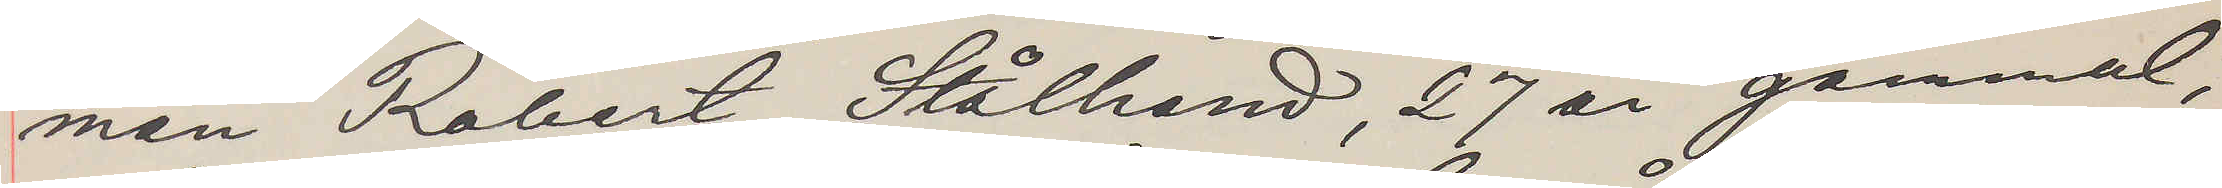man Robert Stålhand, 27 år gammal,
